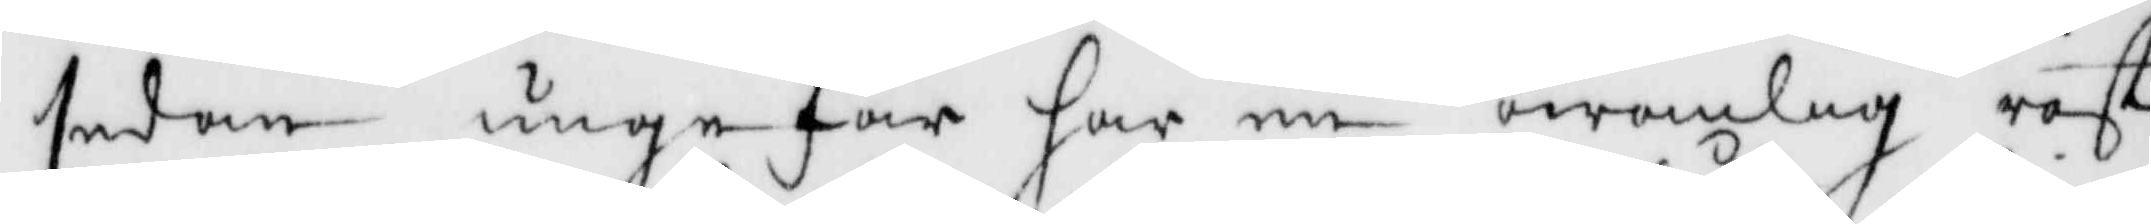sedan ungefär har en owanlig röst
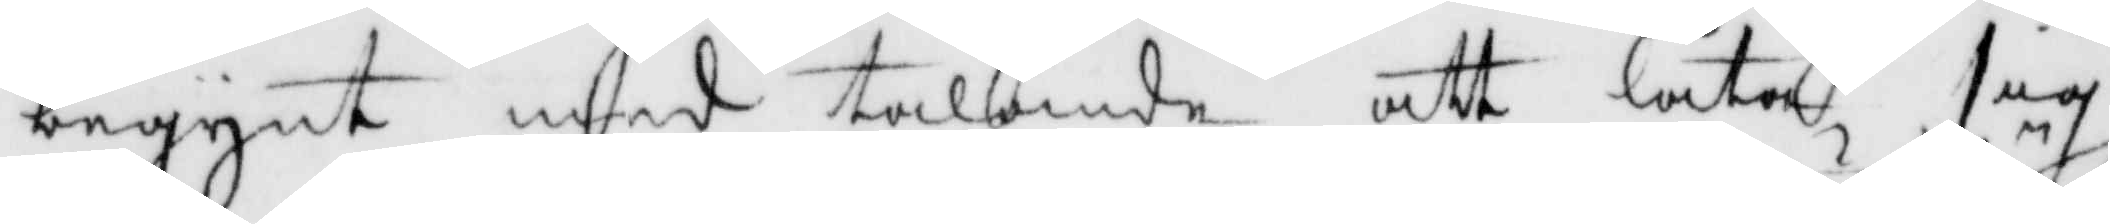begynt med talande att låta sig
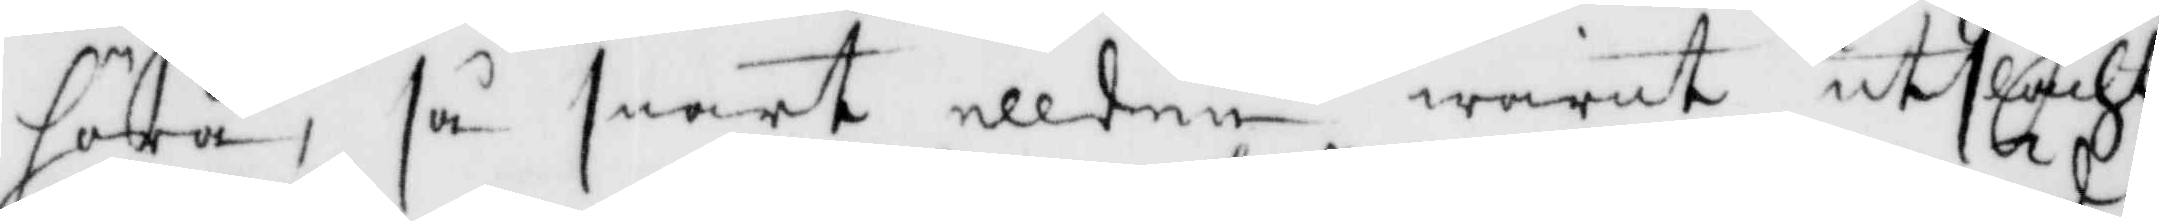höra, så snart ellden warit utslächt,
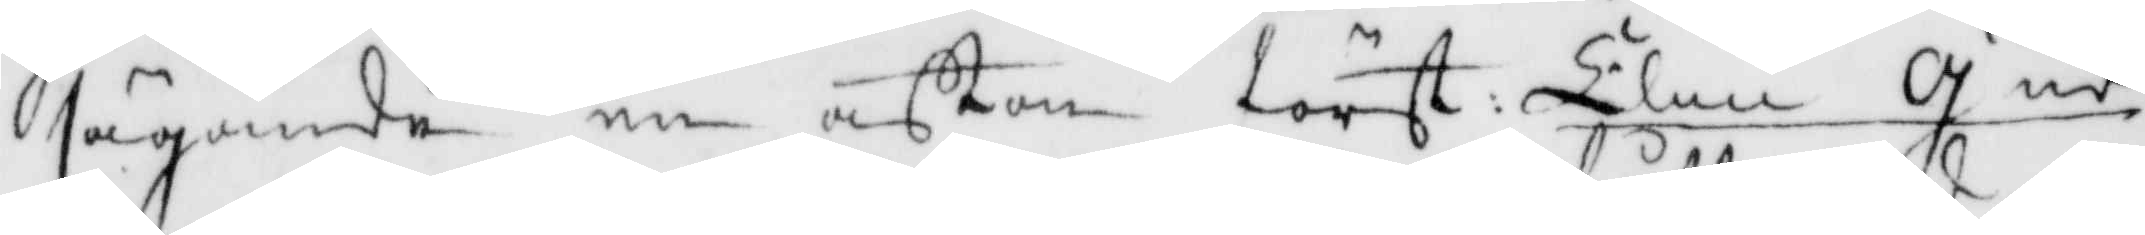sägande en afton först Elin Gud
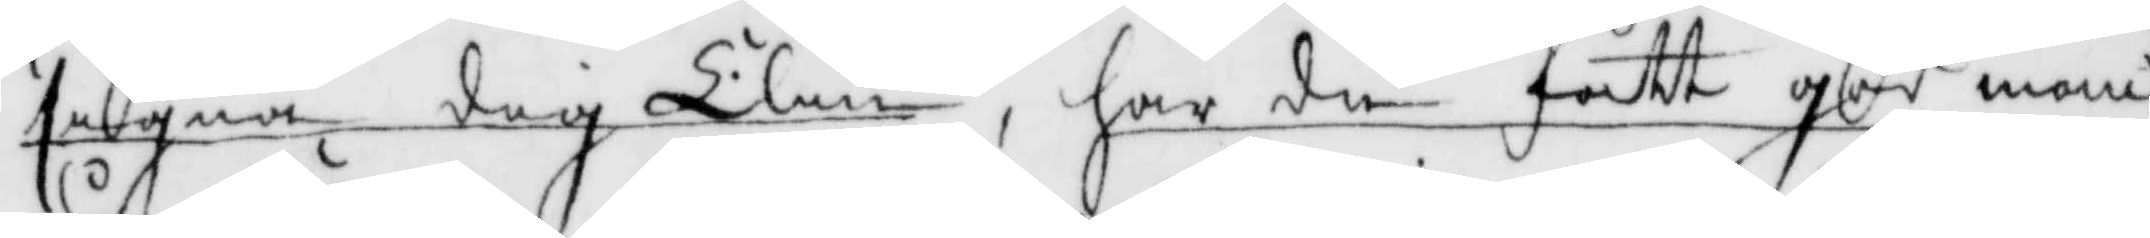signe dig Elin, har du fått god man
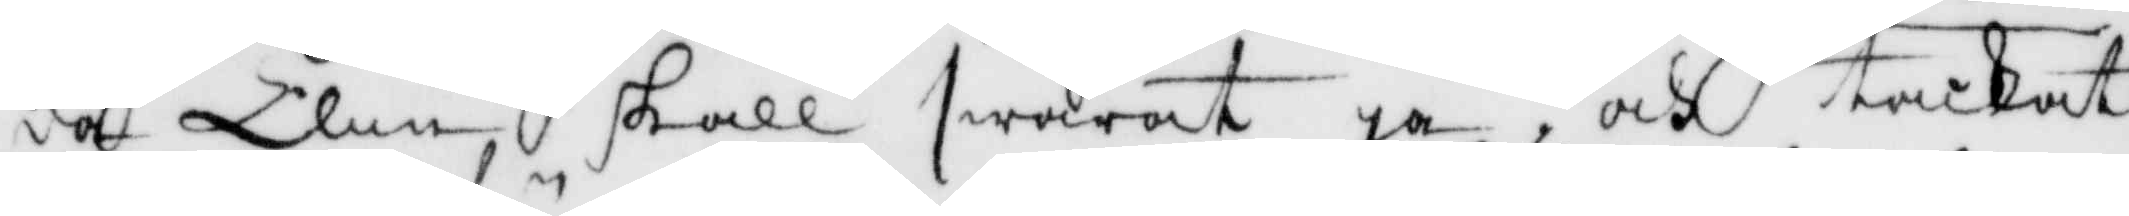då Elin skall swaat ja, och tackat
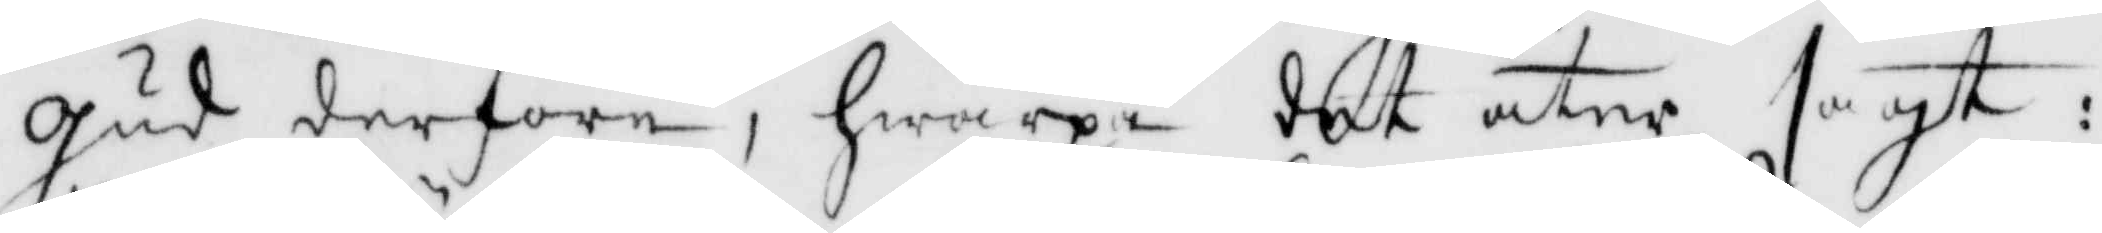gud derföre, hwarpå det åter sagt:
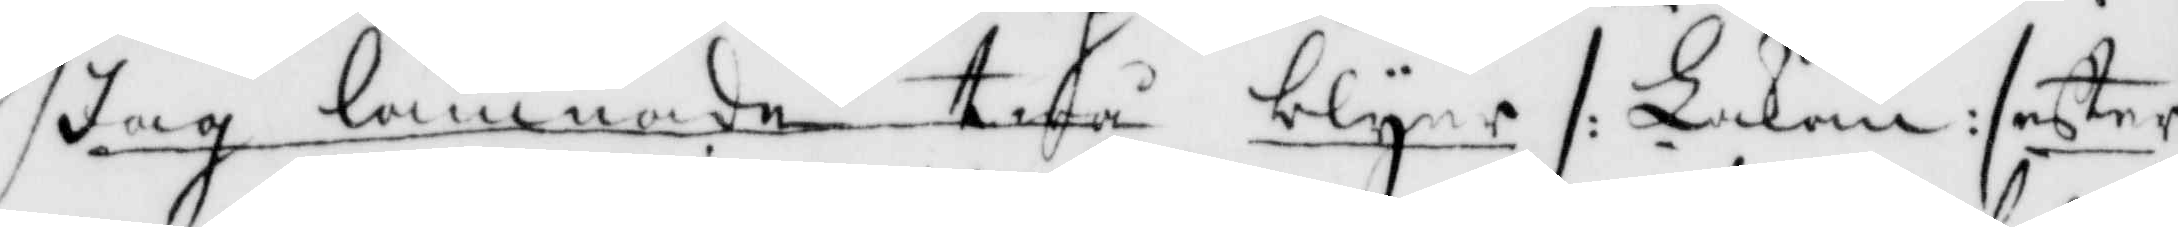Jag lämnade twå blyer /: Lakan :/ efter
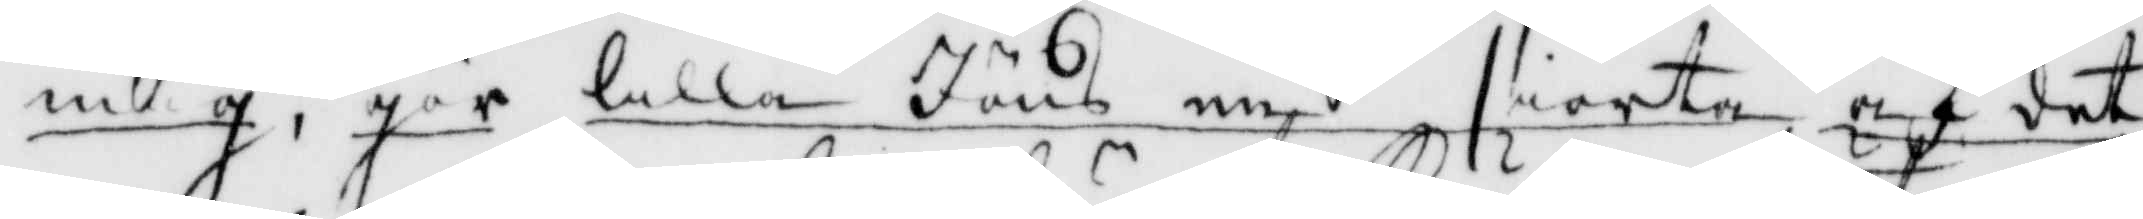mig, gör lilla Jöns en siorta af det
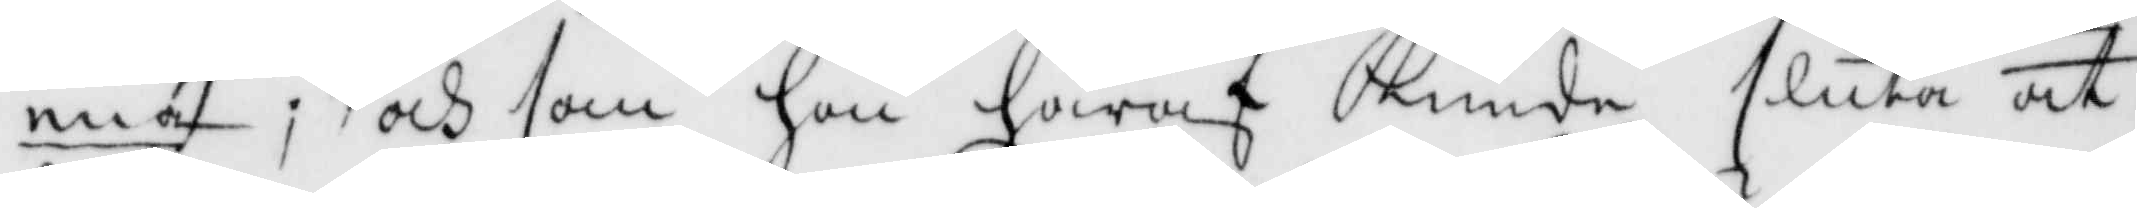ena; och som hon häraf kunde sluta att
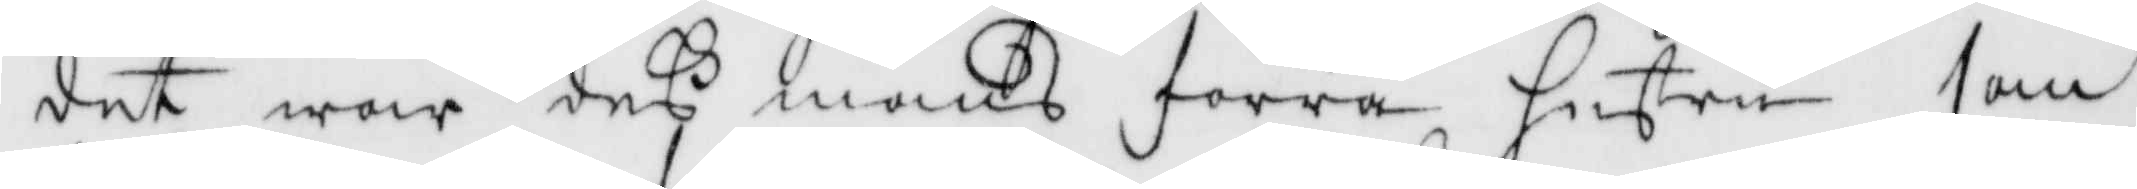det war deß mans förra hustru som
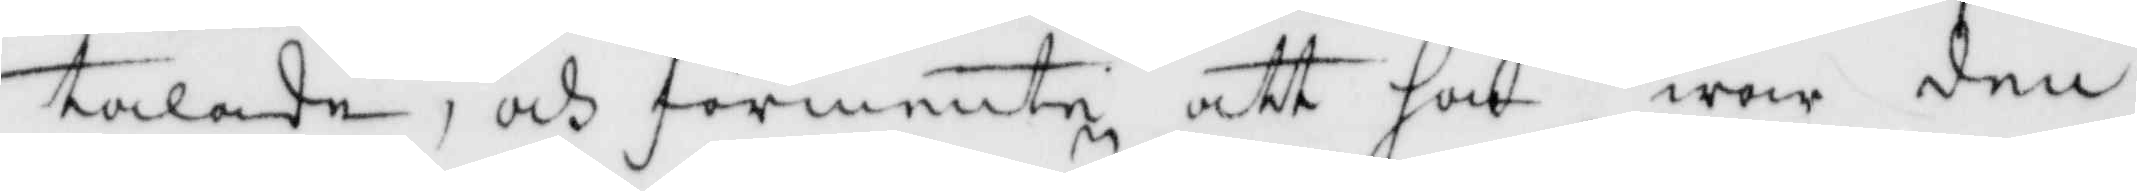talade, och förmente att hon war den
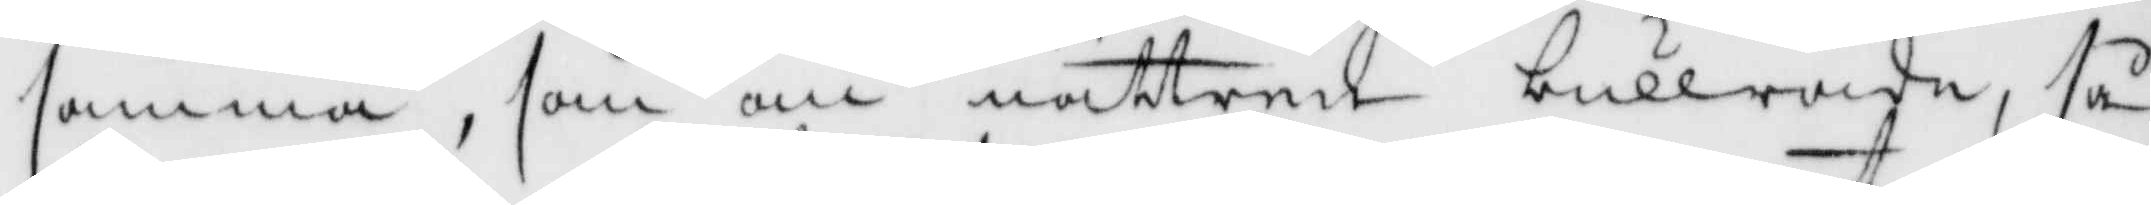samma, som om nätterne bullrade, så
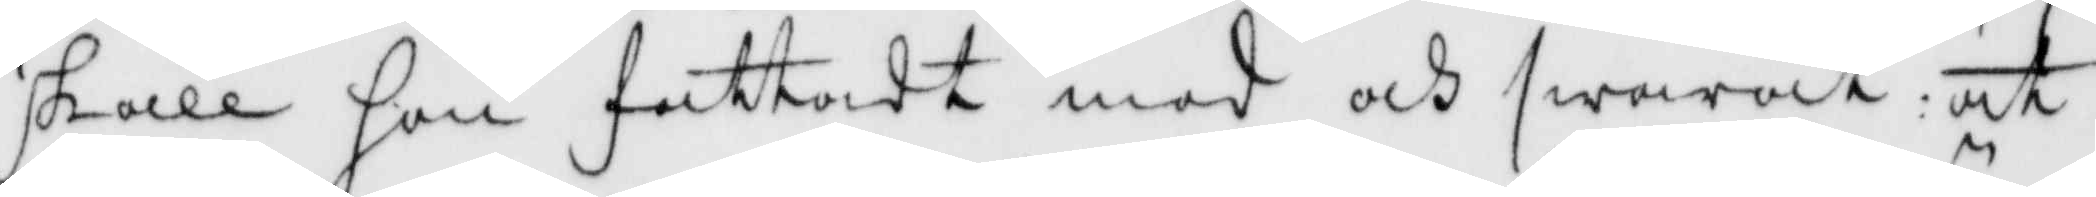skall hon fattadt mod och swarat: att
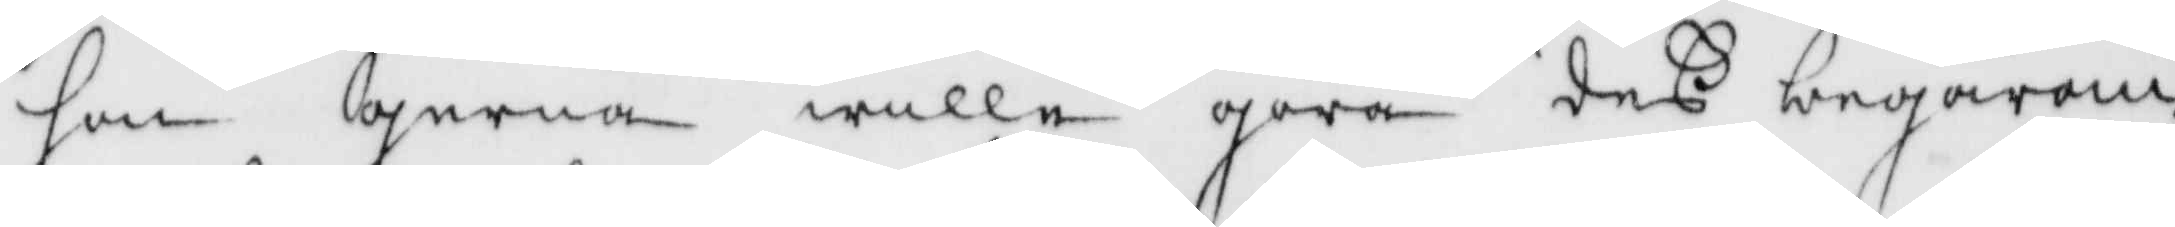hon gerna wille göra deß begäran
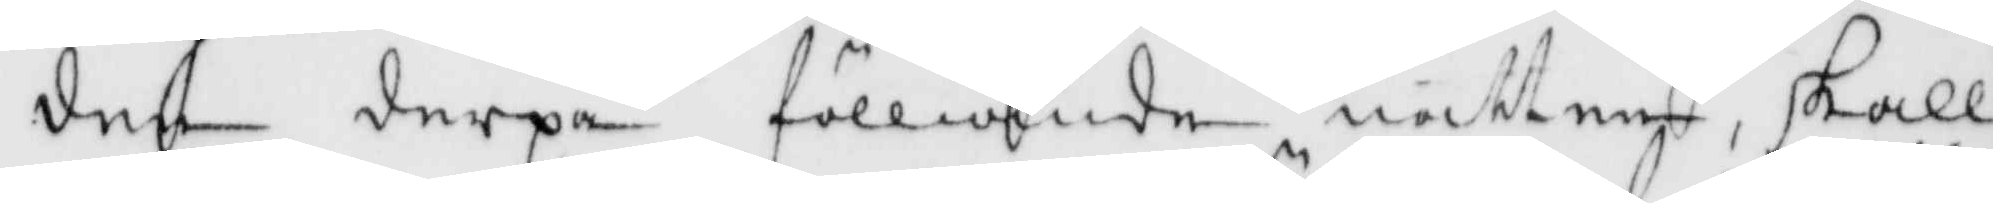den derpå fölliande natten, skall
